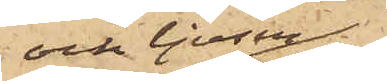och ljusen;
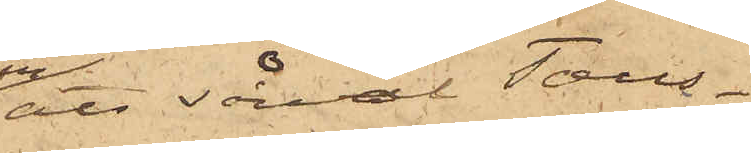att såväl Taus¬
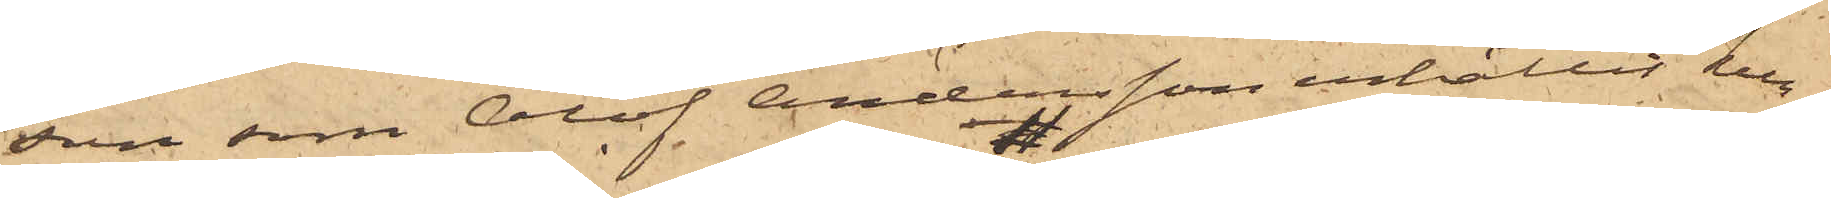son som Olof Andersson erhållit kun¬
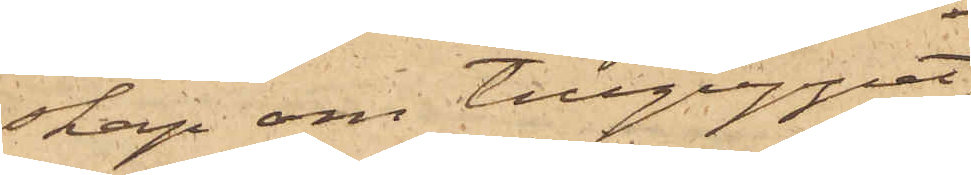skap om tillgreppet;
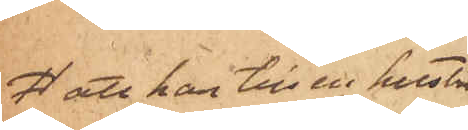 att han till en hustru
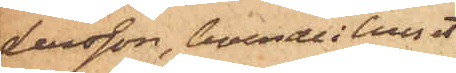Larsson, boende i huset
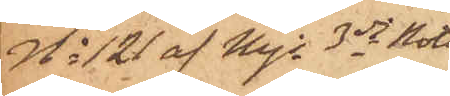No 121 af Majs 3dje Rote
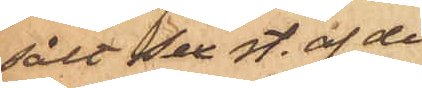sålt sex st. af de
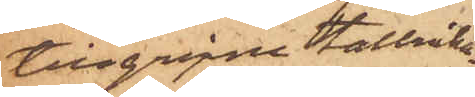tillgripne tallricka¬
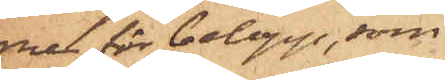rne för belopp, som
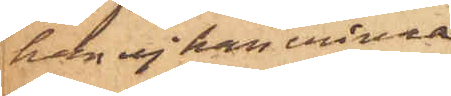han ej han erinra
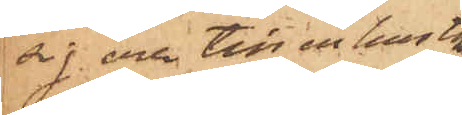sig och till en hustru
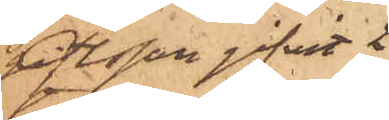Olsson gifvit 2
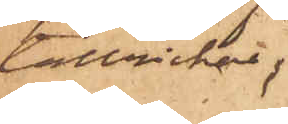tallrickar;
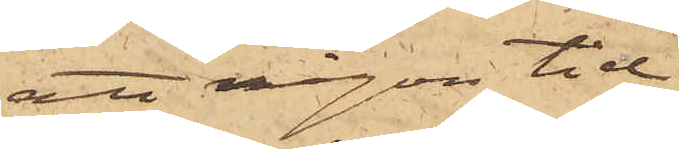att någon tid
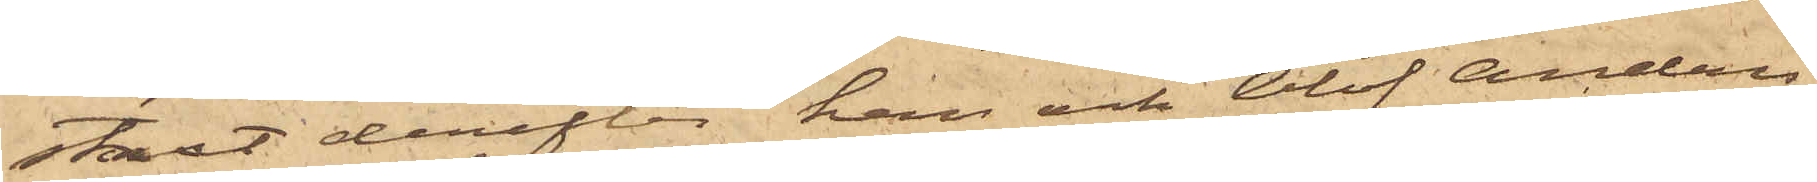straxt derefter han och Olof Anders¬
